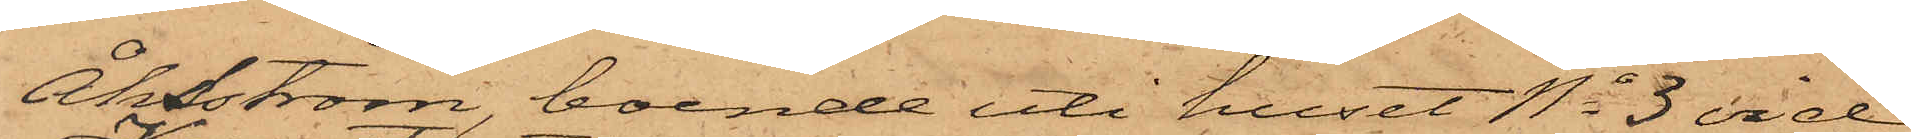Åhsström boende uti huset No 3 vid
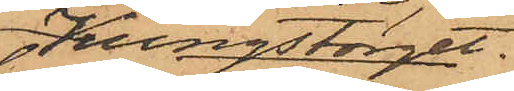Kungstorget,
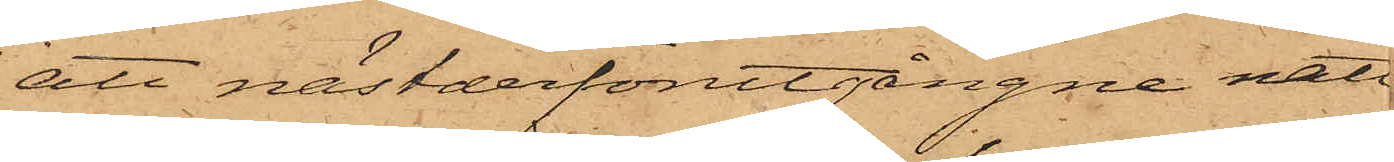att nästderförutgångne natt
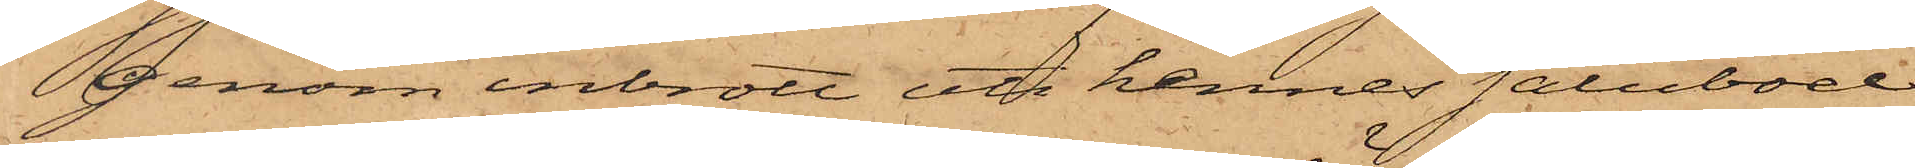genom inbrott uti hennes salubod
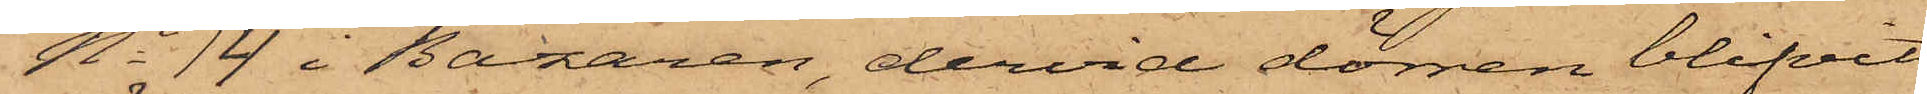No 14 i Bazaren, dervid dörren blifvit
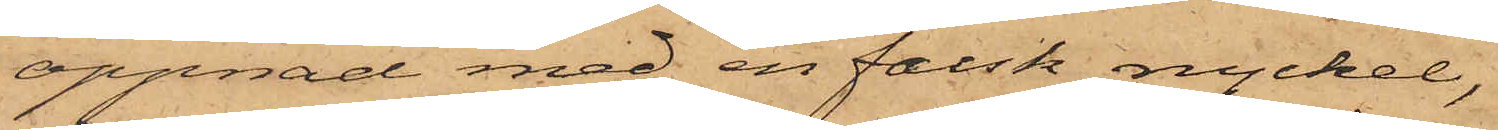öppnad med en falsk nyckel,
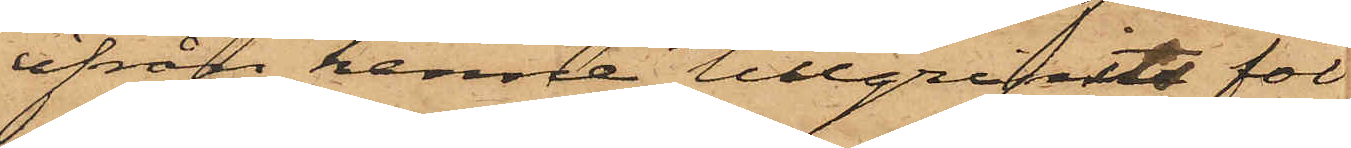ifrån henne tillgripits föl¬
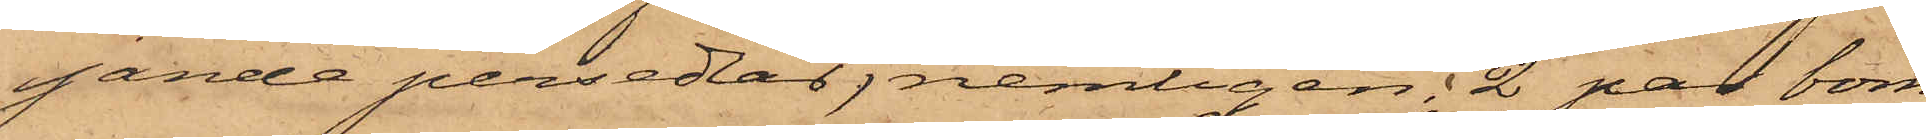fande persedlar, nemligen: 2 par bom¬
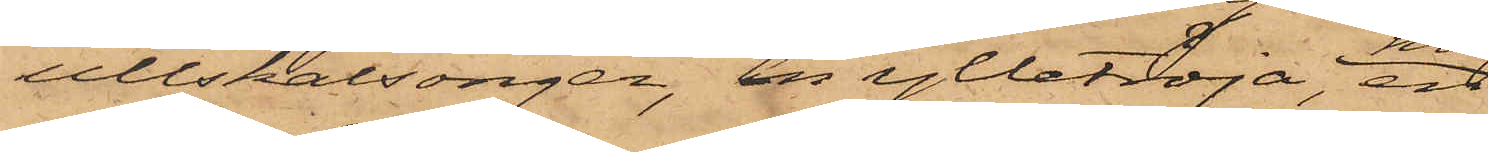ullskalsonger, en ylletröja, en
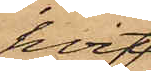hvit
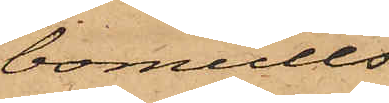bomulls¬
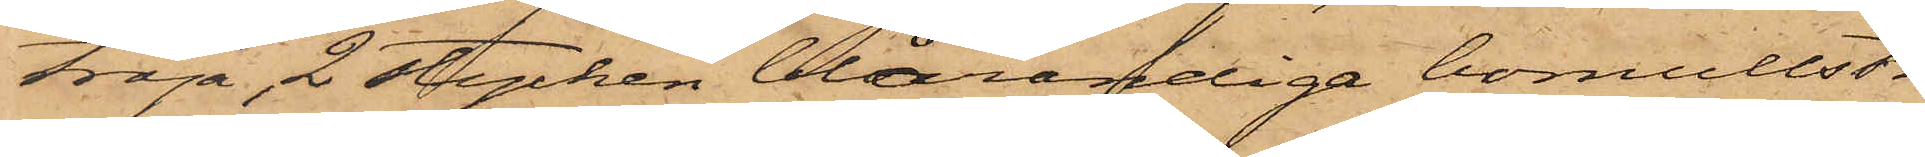tröja, 2 stycken blårandiga bomullströ¬
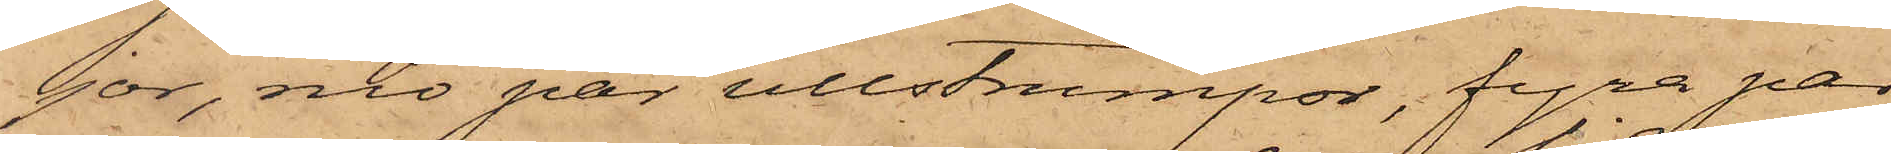jor, nio par ullstrumpor, fyra par
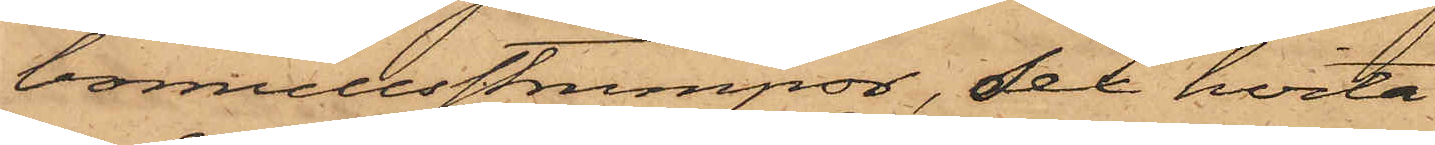bomullsstrumpor, sex hvita
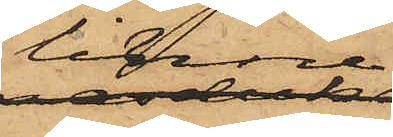linne,
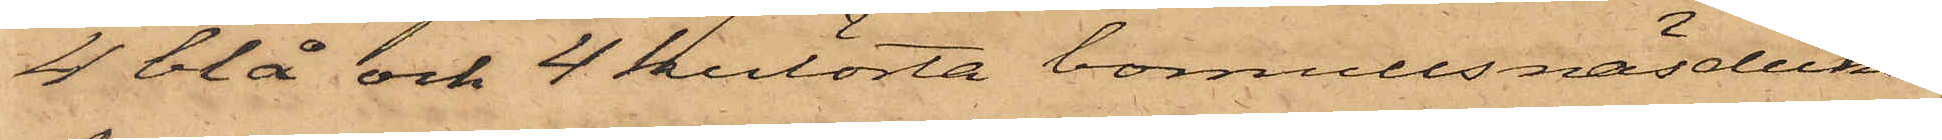4 blå och 4 kulörta bomullsnäsdukar
